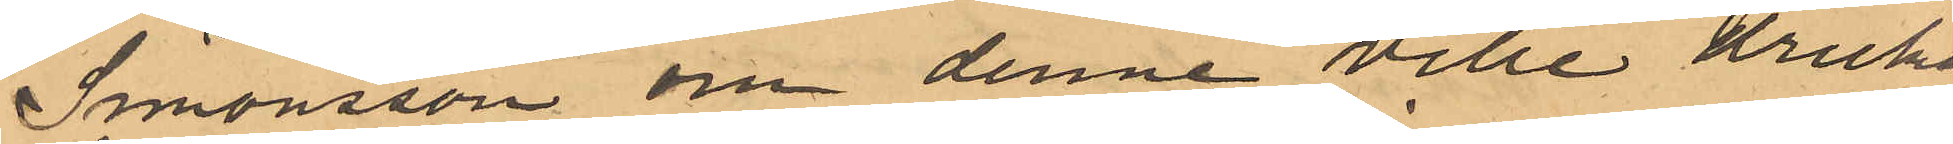Simonsson om denne ville dricka
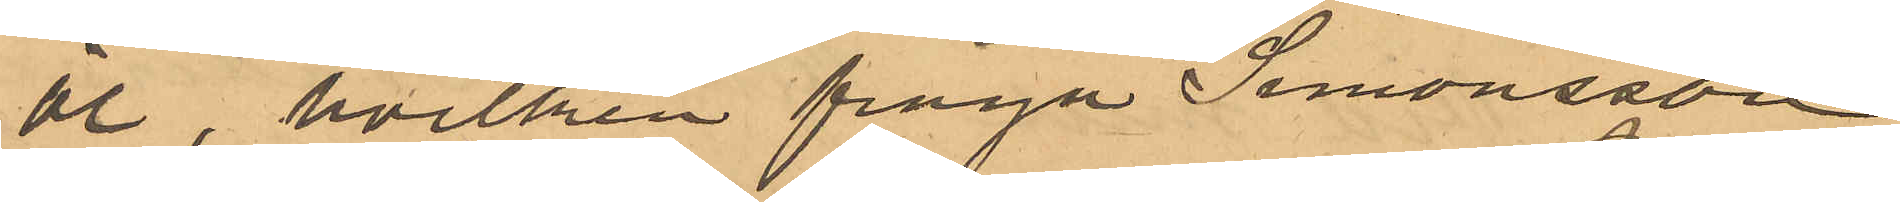öl, hvilken fråga Simonsson
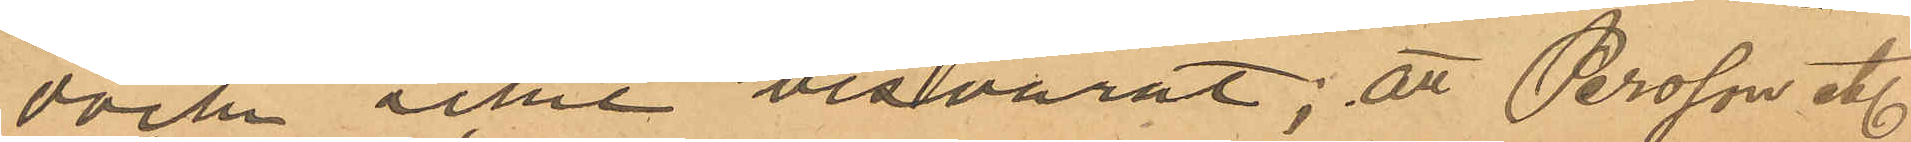dock icke besvarat; att Persson etc
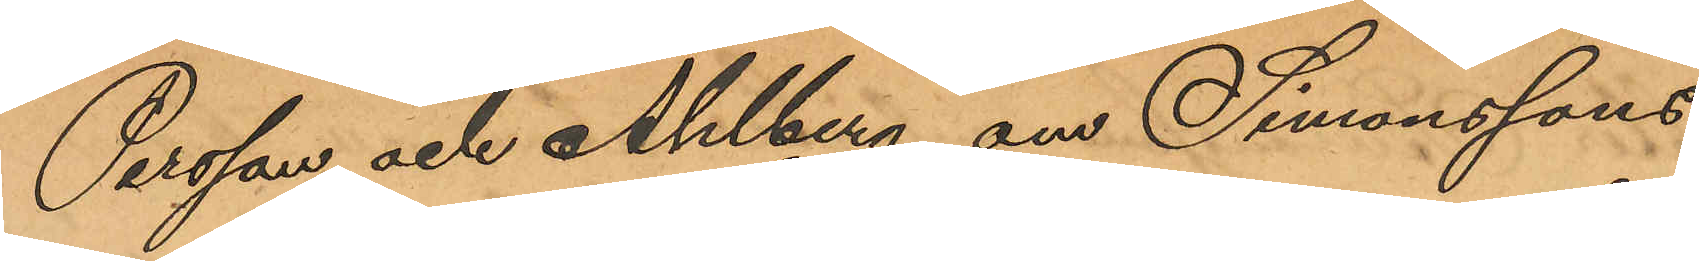Persson och Ahlberg om Simonssons
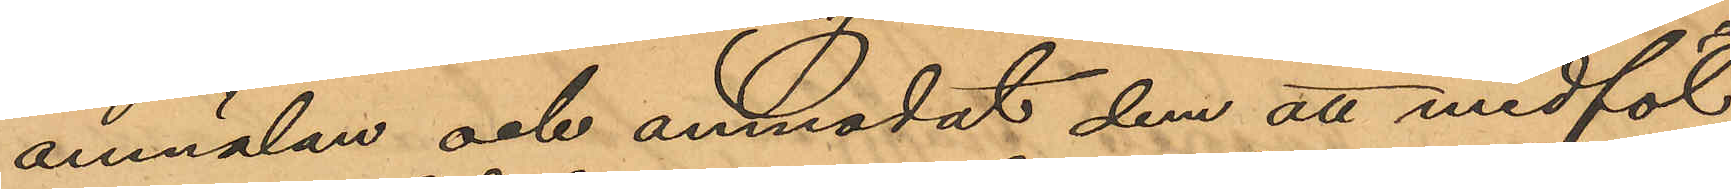anmälan och anmodat dem att medföl¬
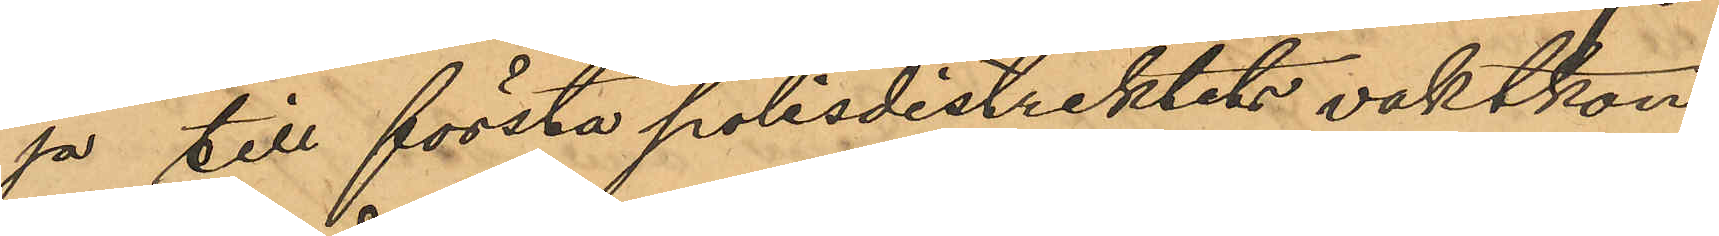ja till första polisdistriktets vaktkon¬
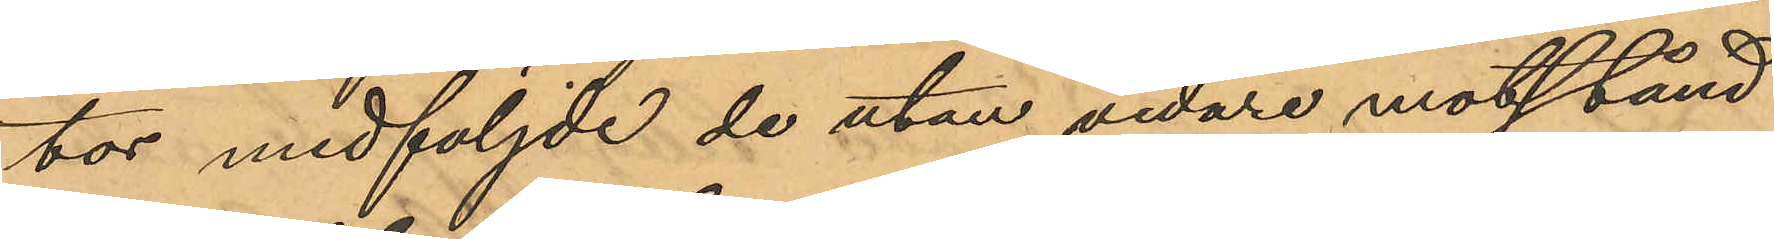tor medföljde de utan vidare motstånd
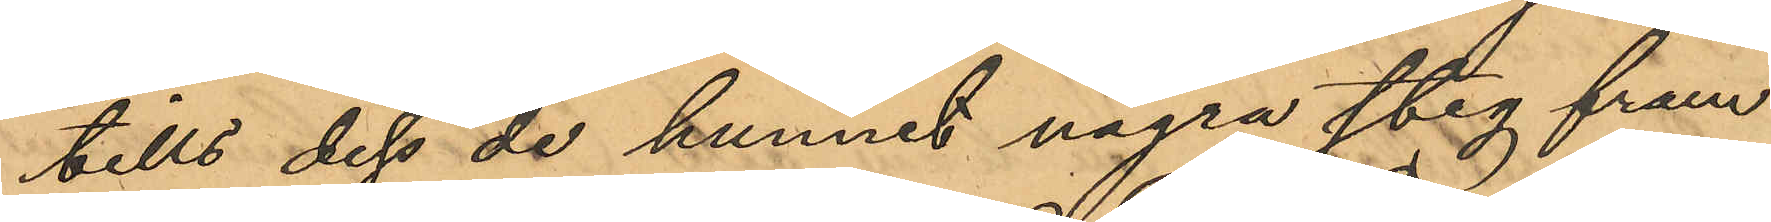tills dess de hunnit några steg fram
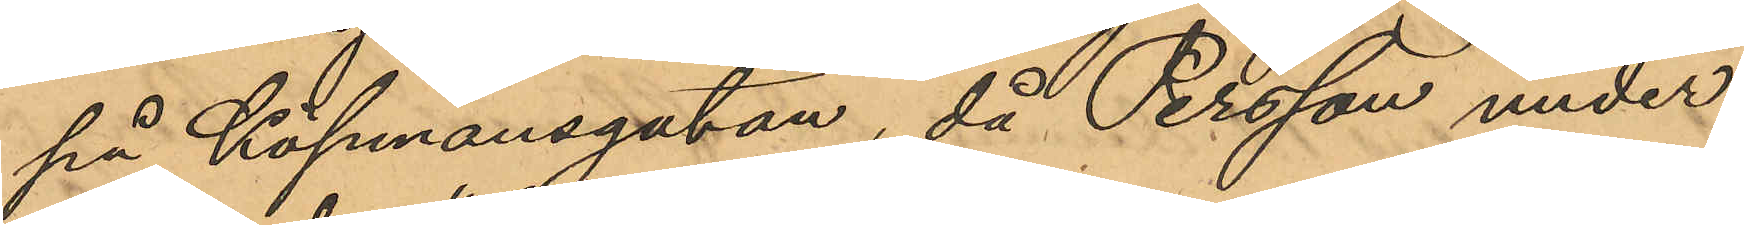på Köpmansgatan, då Persson under
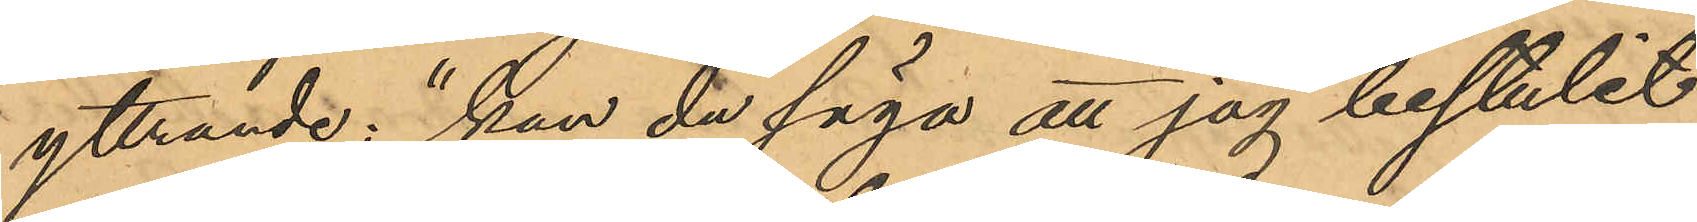yttrande: "kan du säga att jag bestulit
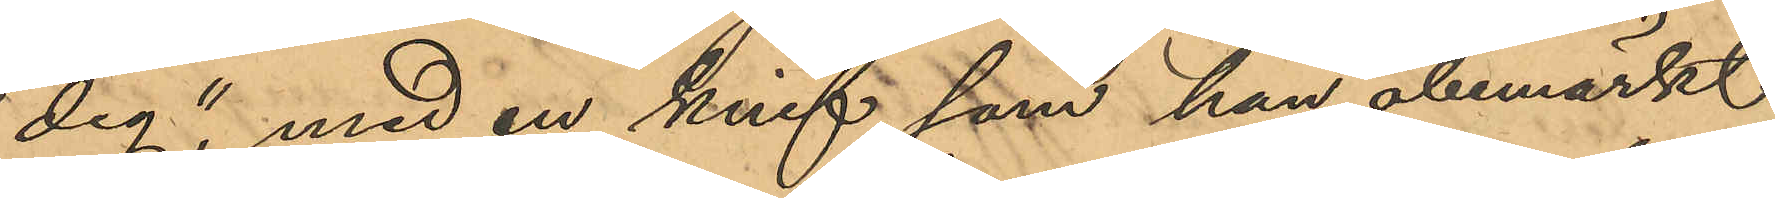dig" med en knif, som han obemärkt
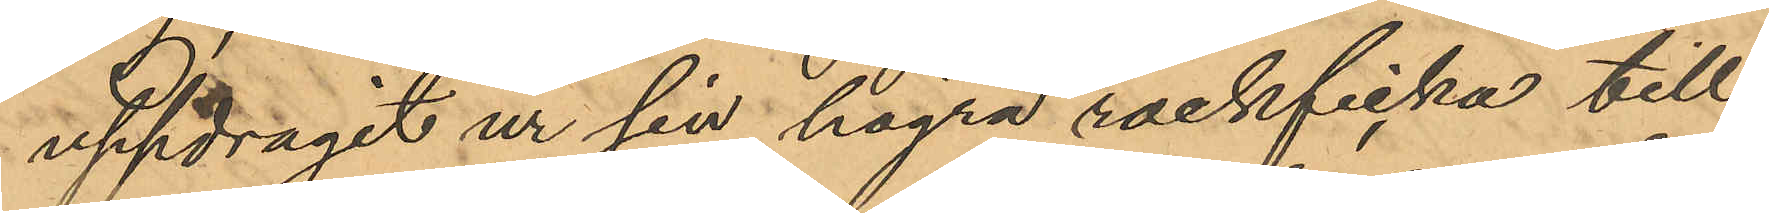uppdragit ur sin högra rockficka till¬
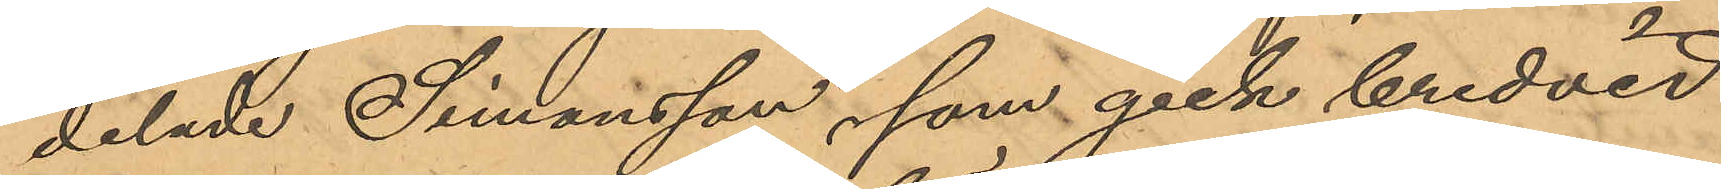delade Simonsson, som gick bredvid
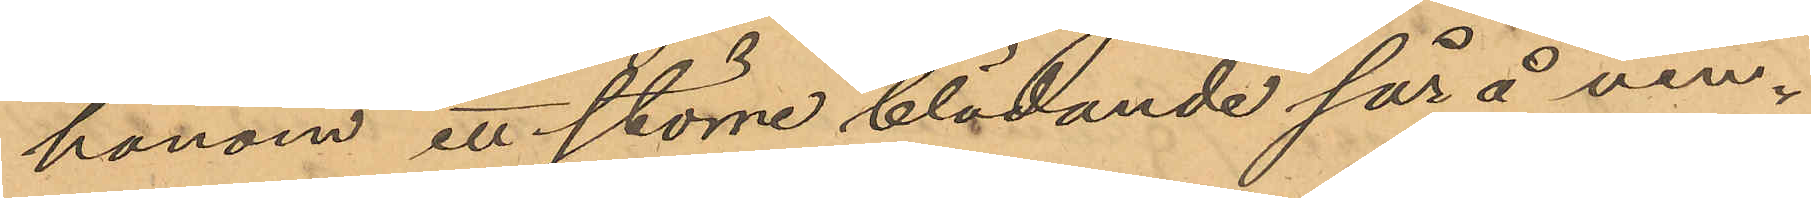honom ett större blödande sår å vän¬
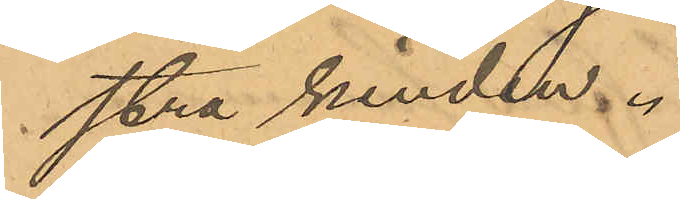stra kinden.
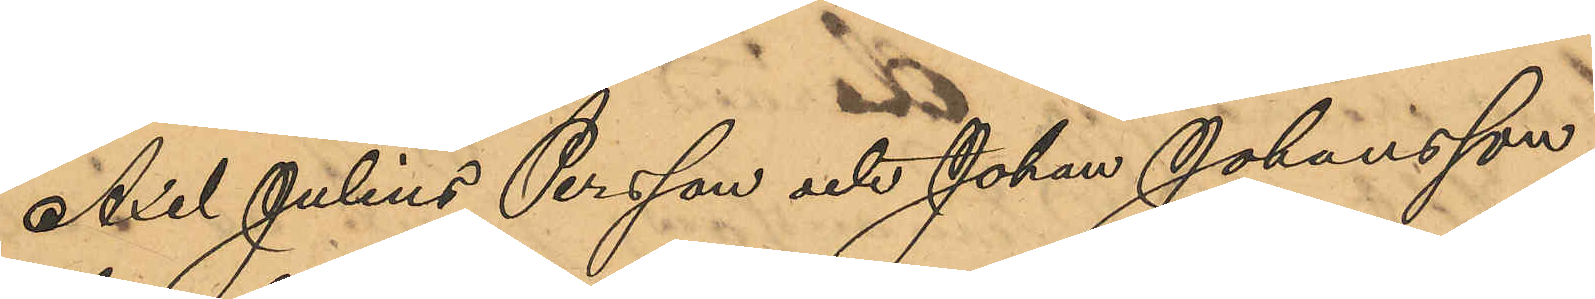Axel Julius Persson och Johan Johansson
